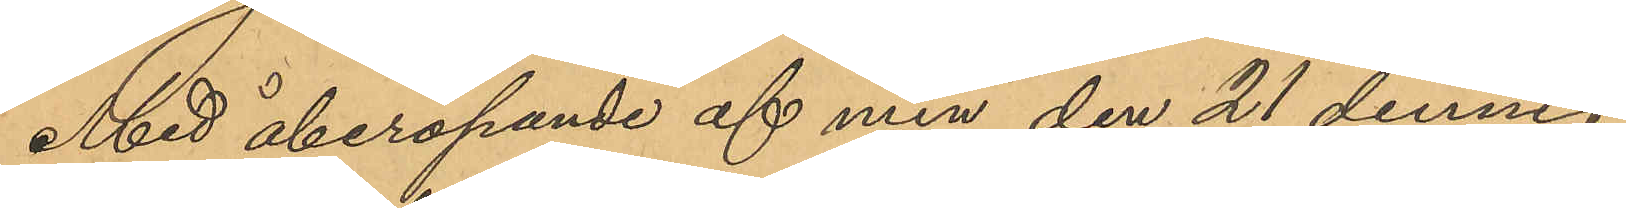Med åberopande af min den 21 dennes
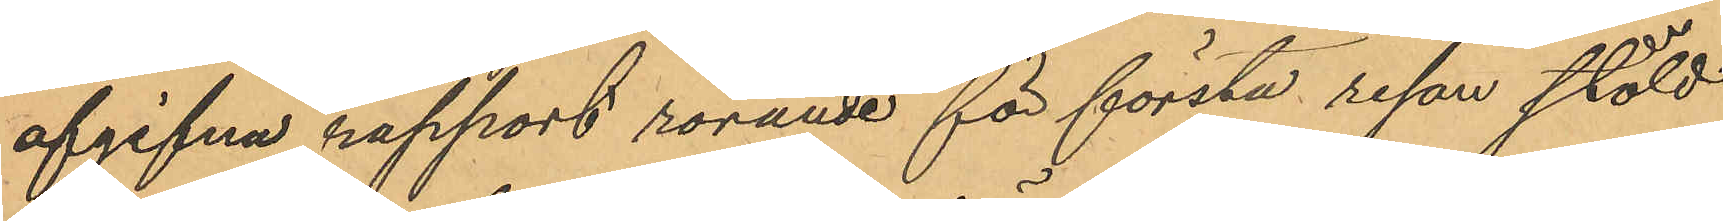afgifna rapport rörande för första resan stöld
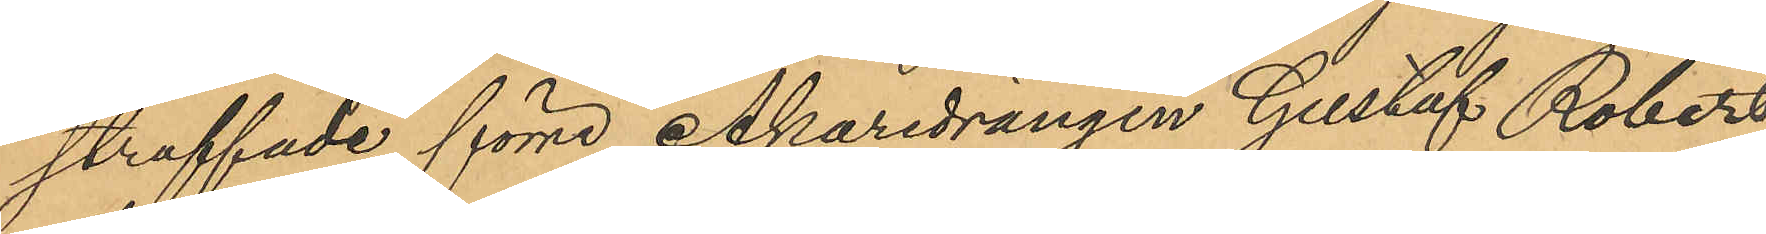straffade förre Åkaredrängen Gustaf Robert
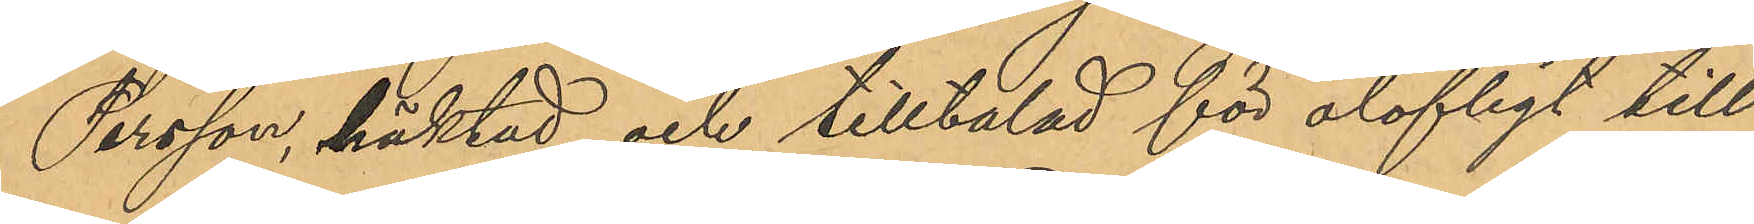Persson, häktad och tilltalad för olofligt till¬
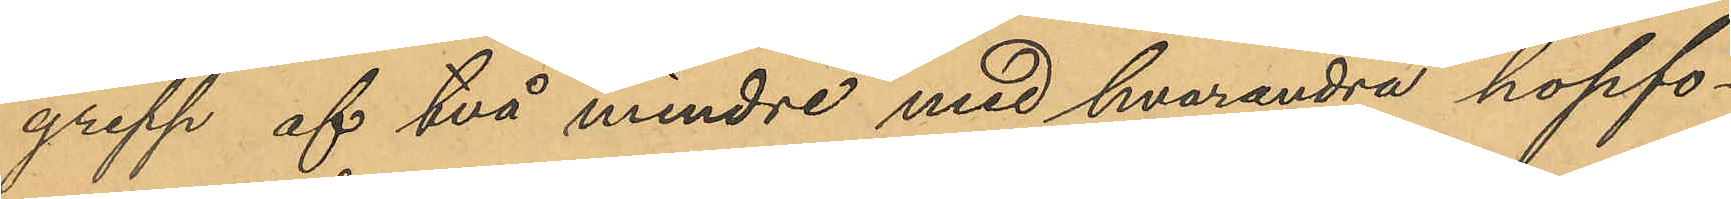grepp af två mindre med hvarandra hopfo¬
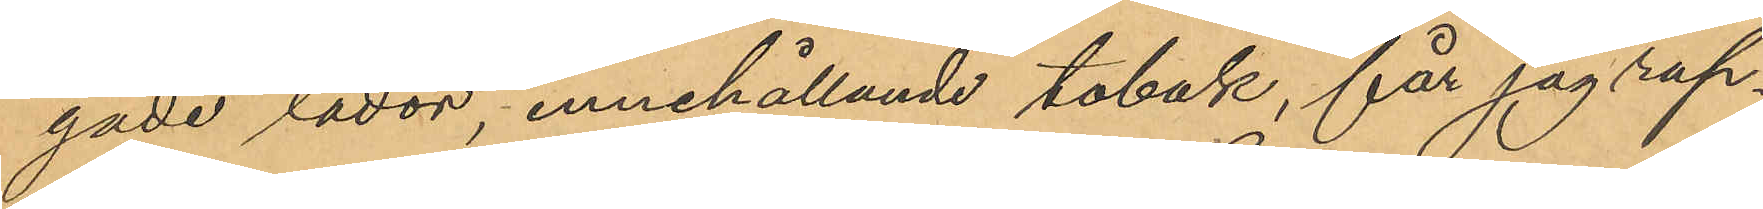gade lådor, innehållande tobak, får jag rap¬
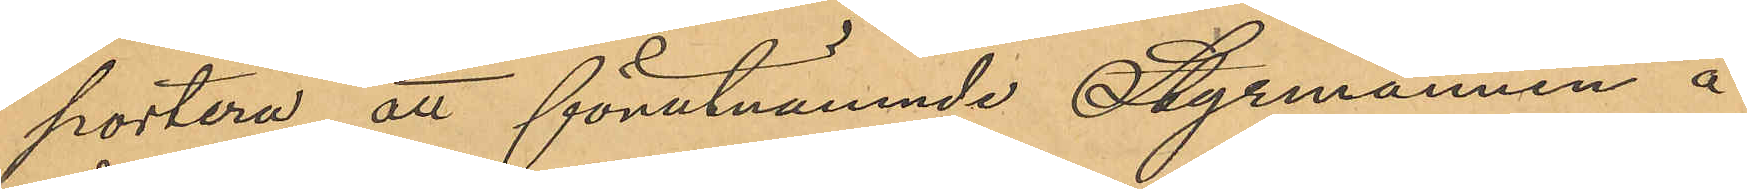portera att förutnämnde Styrmannen å
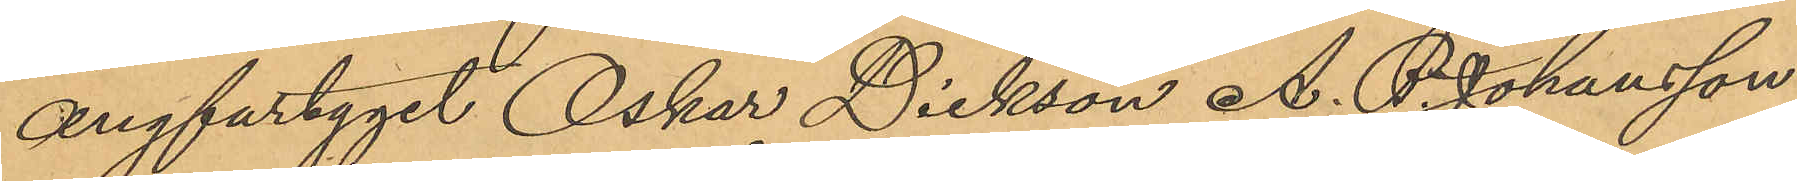ångfartyget Oskar Dickson A. P. Johansson
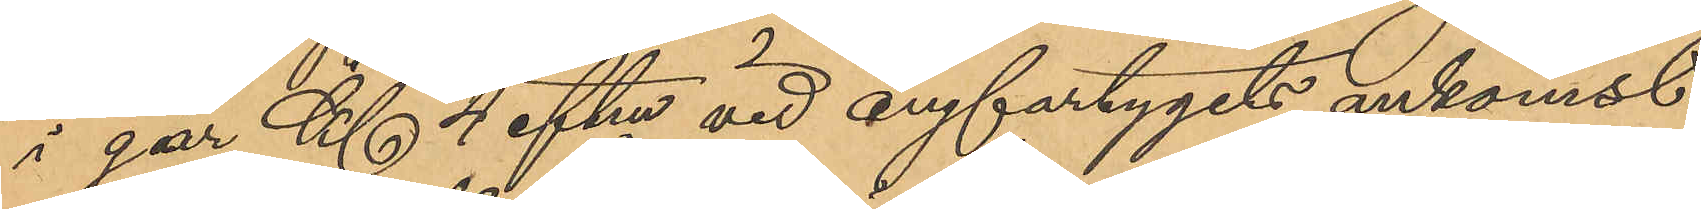i går Kl 4 eftm vid ångfartygets ankomst
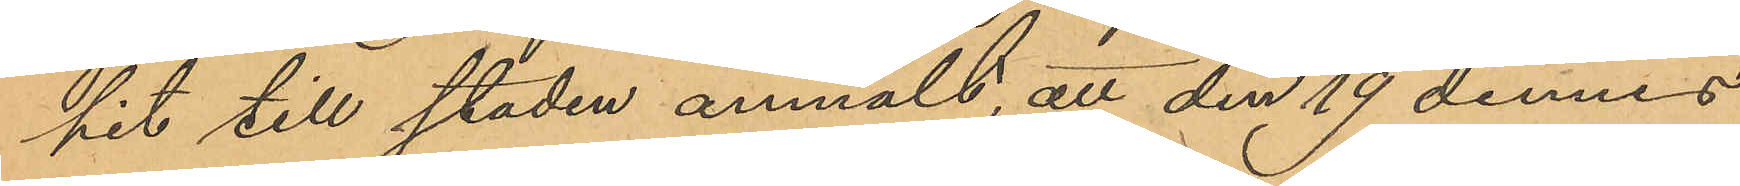hit till staden anmält, att den 19 dennes
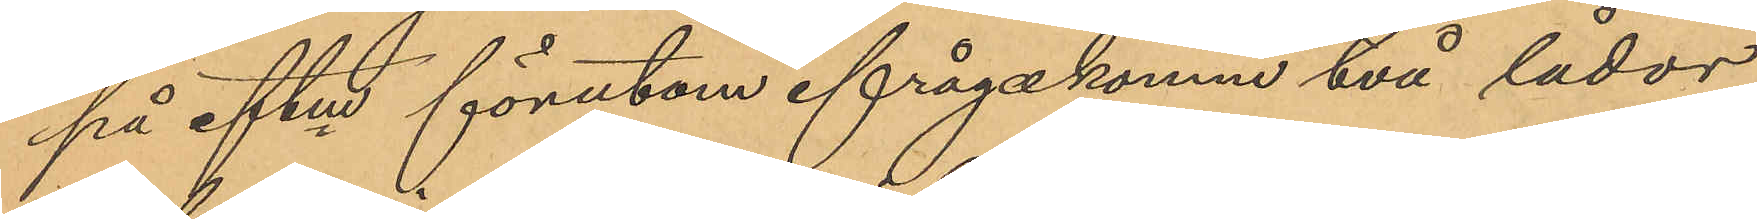på eftm förutom ifrågakomne två lådor
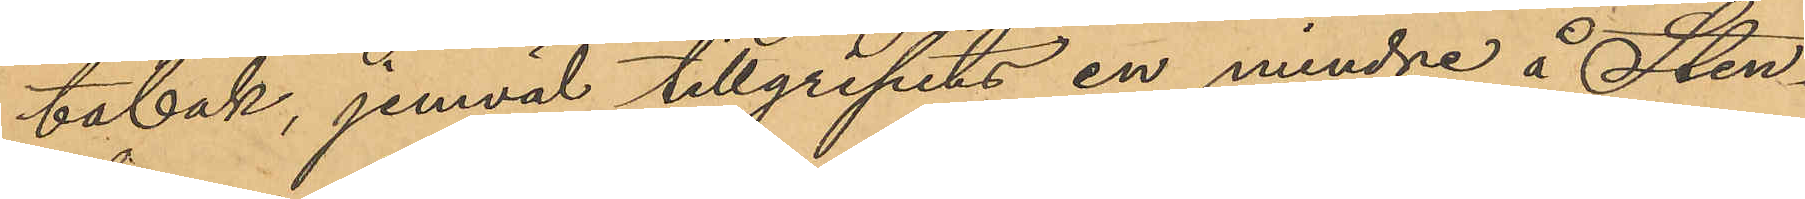tobak, jemväl tillgripits en mindre å Sten¬
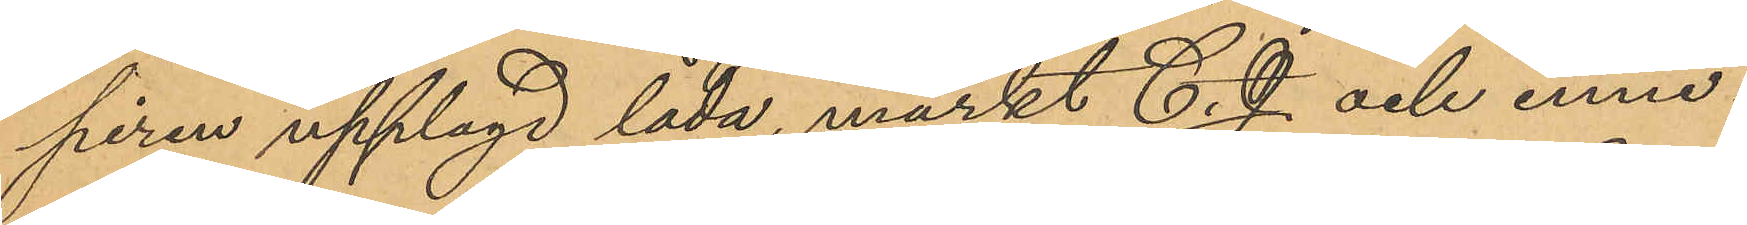piren upplagd låda, märkt C. J. och inne¬
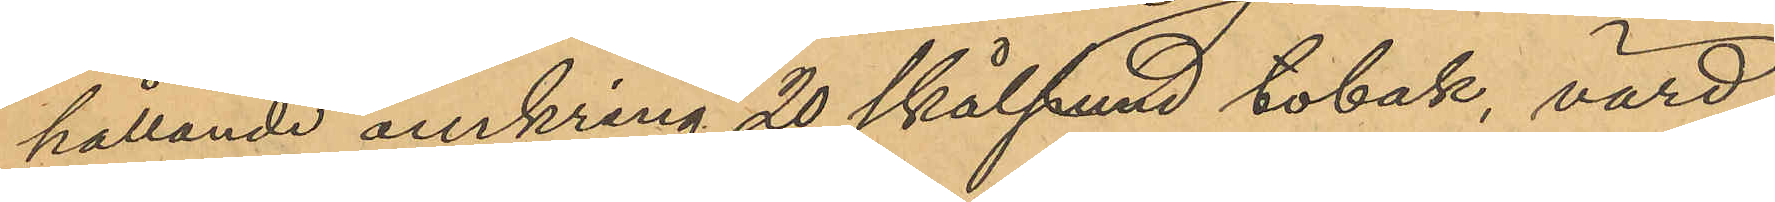hållande omkring 20 skålpund tobak, värd
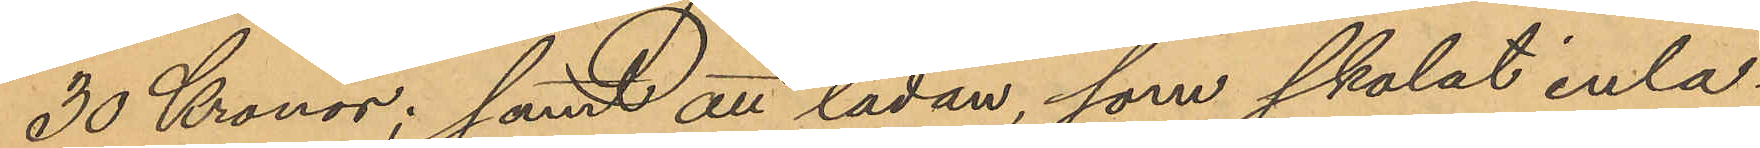30 Kronor; samt att lådan som skolat inla¬
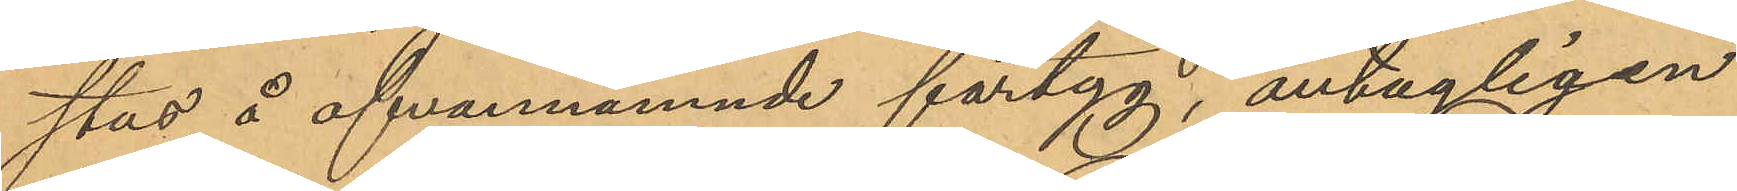stas å ofvannämnde fartyg, antagligen
